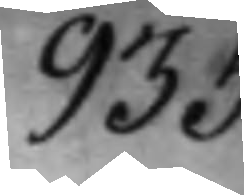935.
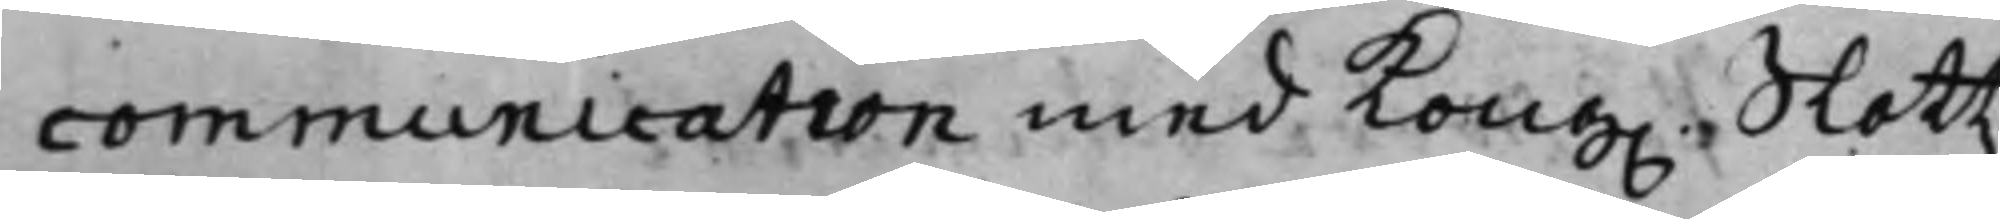communication med Kong. Slottz¬
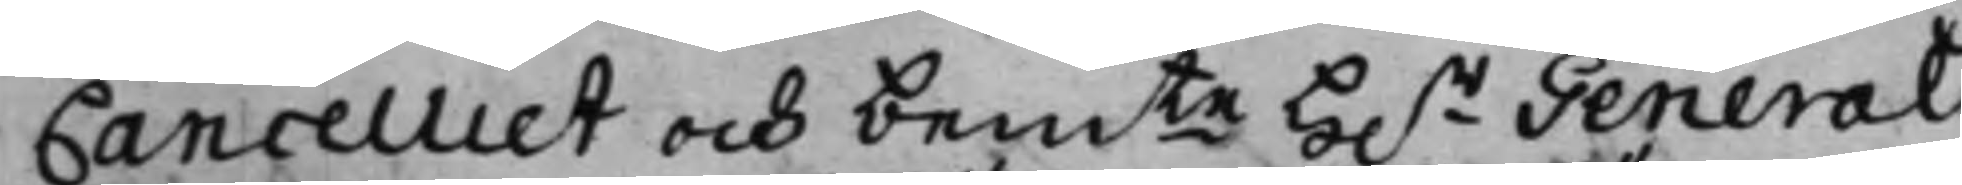Cancelliet och bemte H.r General¬
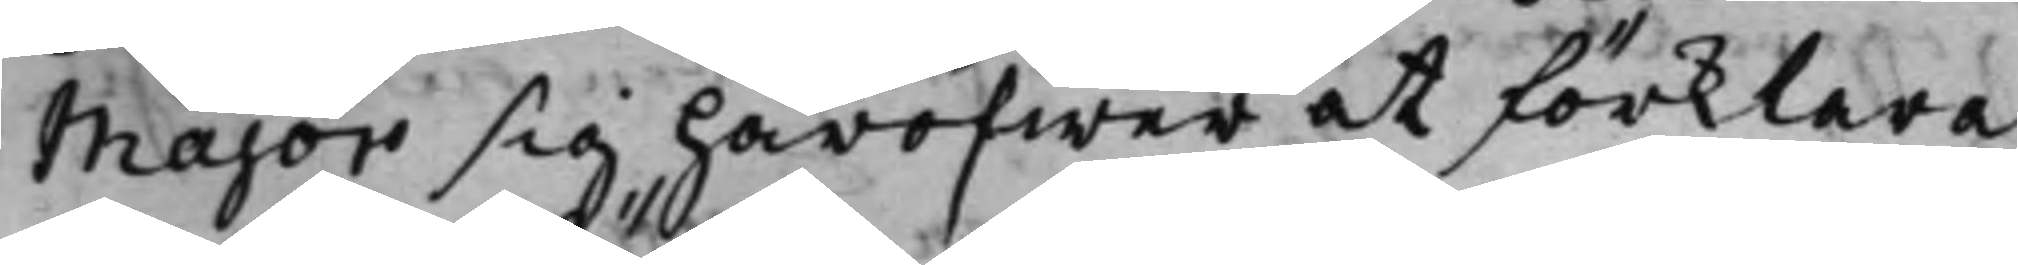Major sig häröfwer at förklara
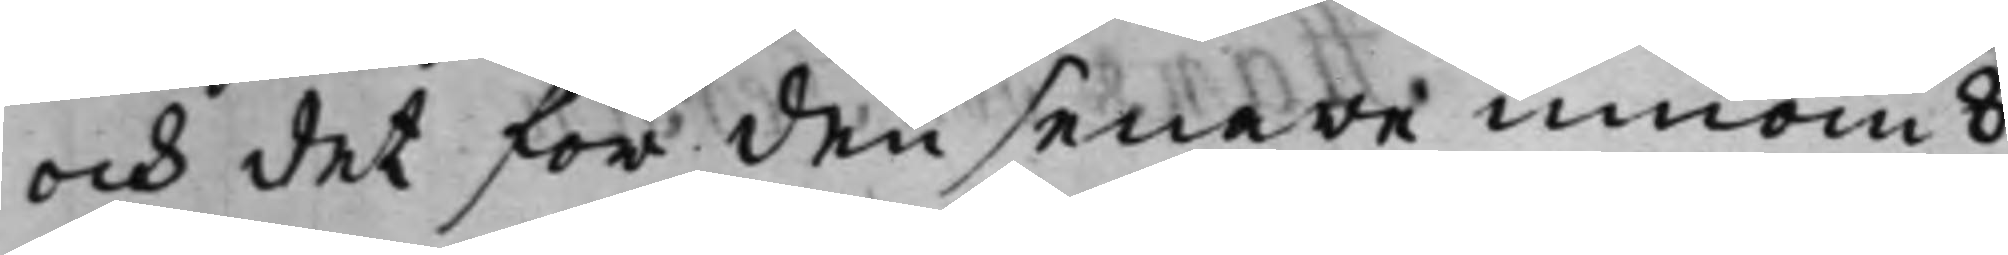och det för den senare innom 8
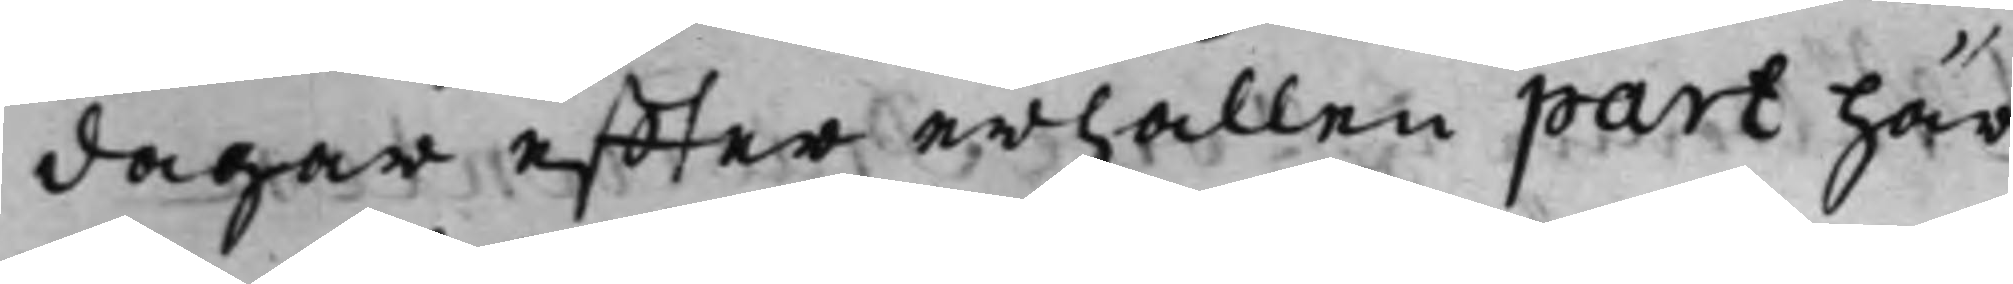dagar effter erhållen part här¬
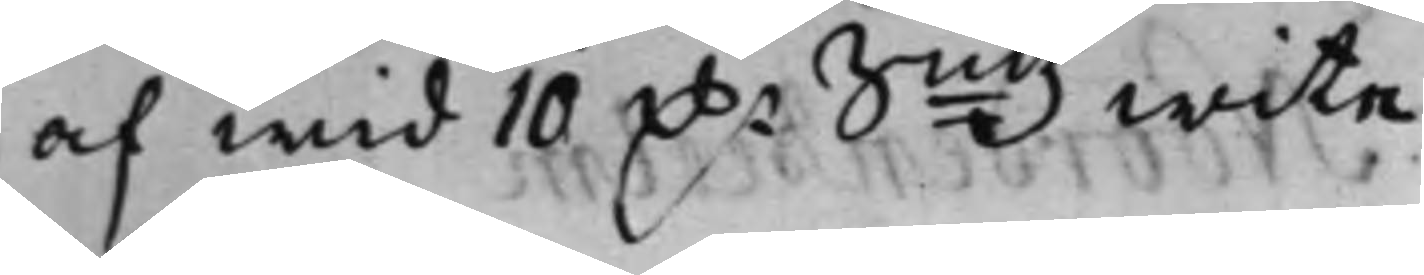af wid 10 D.r Smtz wite.
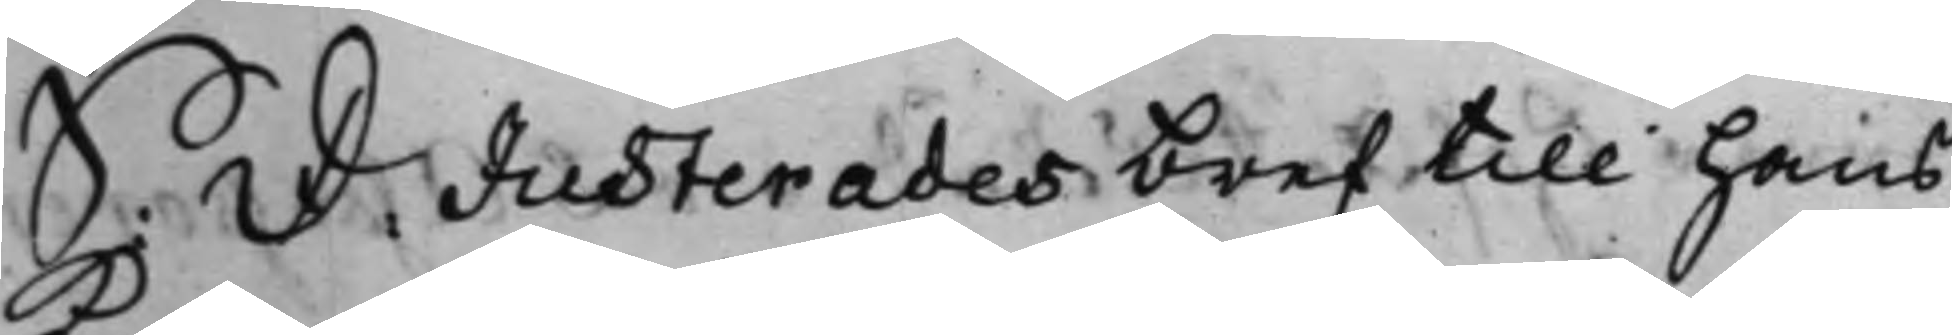S: D: Justerades bref till hans
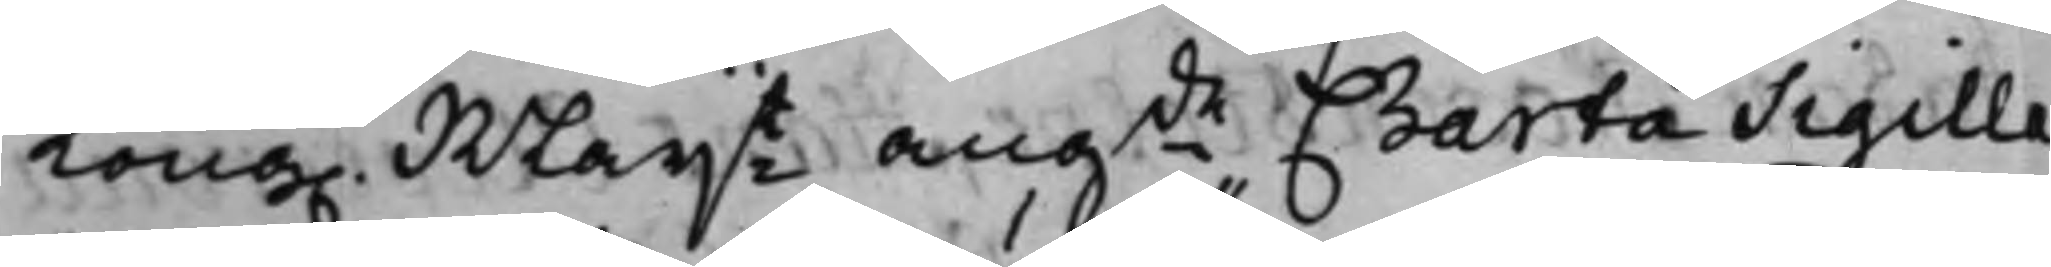Kong. Mayt angde Charta Sigilla¬
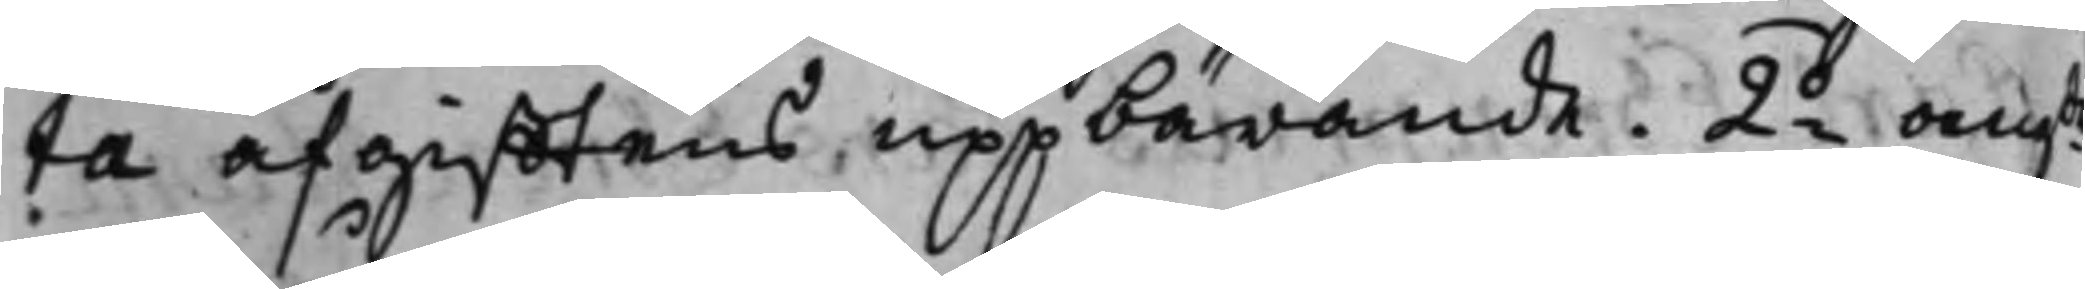ta afgifftens uppbärande. 2.o angde
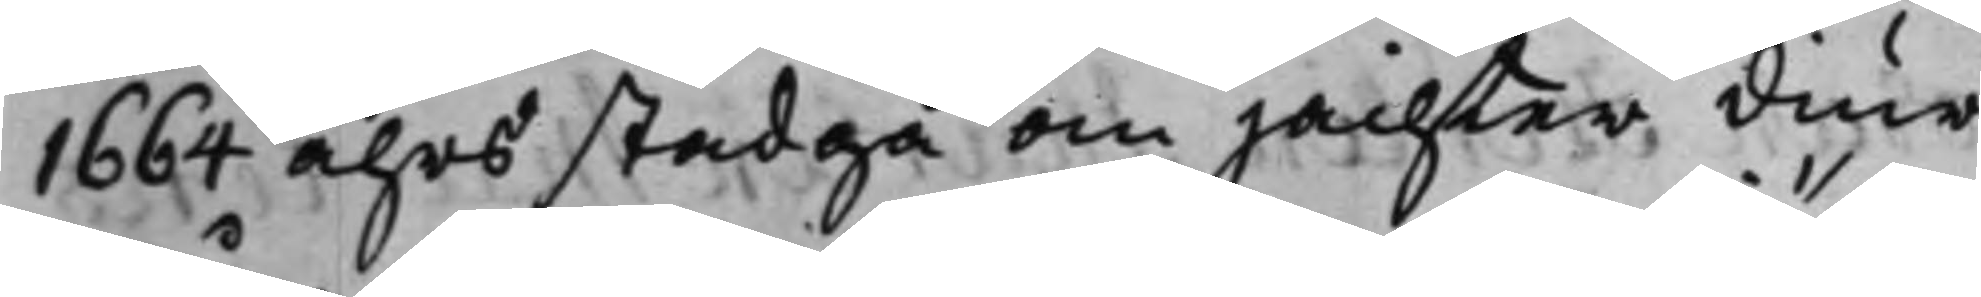1664 åhrs stadga om jachter diur¬
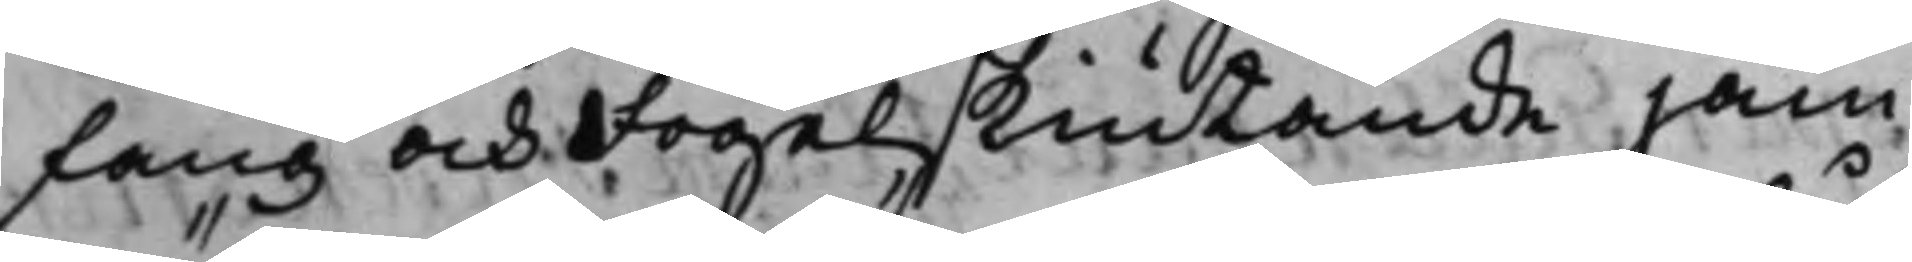fång och Fogelskiutande jäm¬
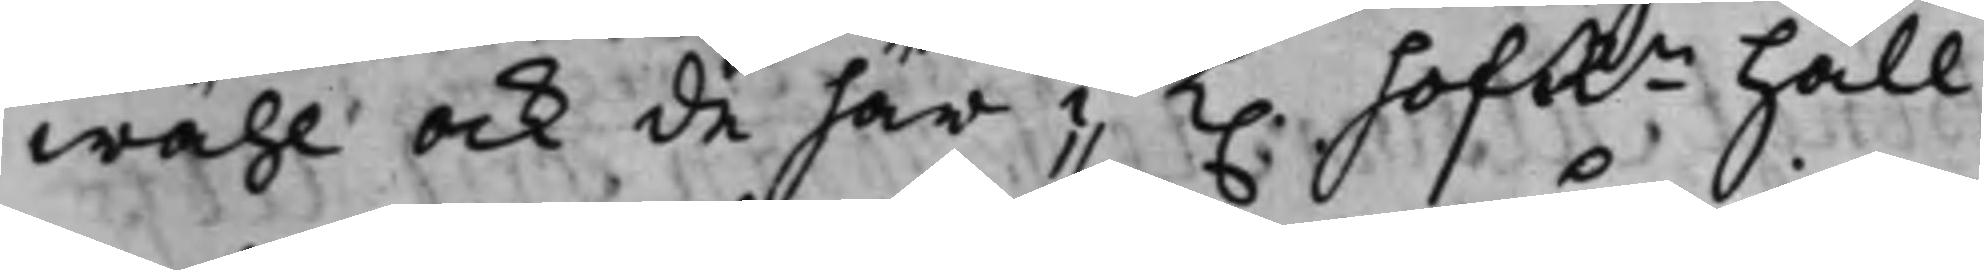wähl ock de här i K. hofRn håll¬
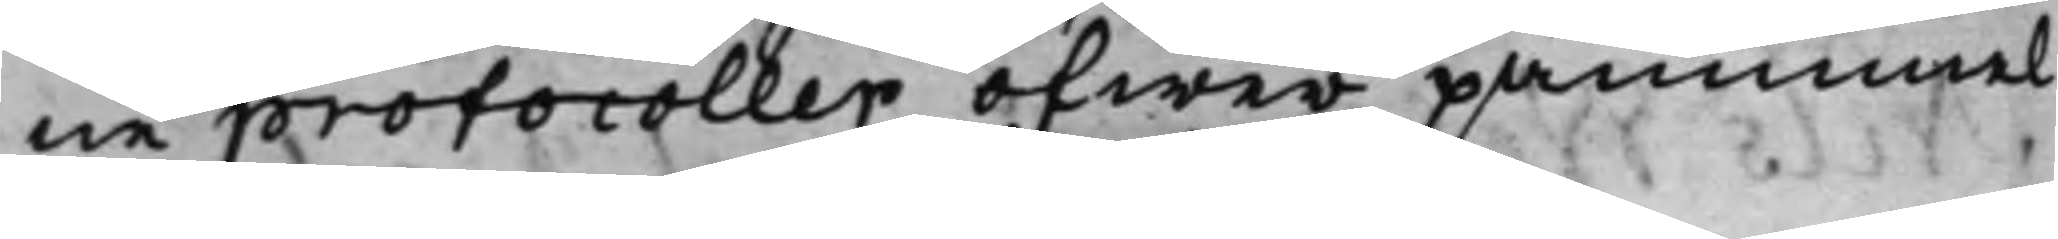ne protocoller öfwer påminnel¬
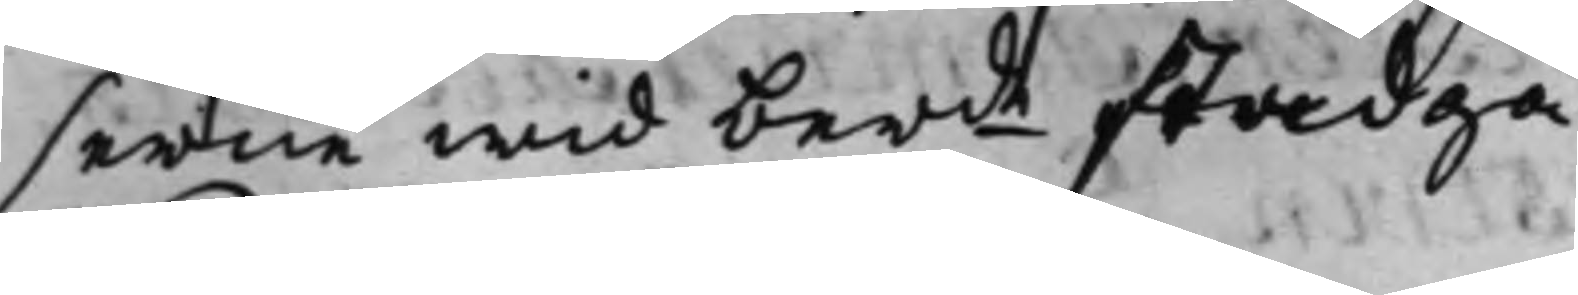serne wid berde stadga.
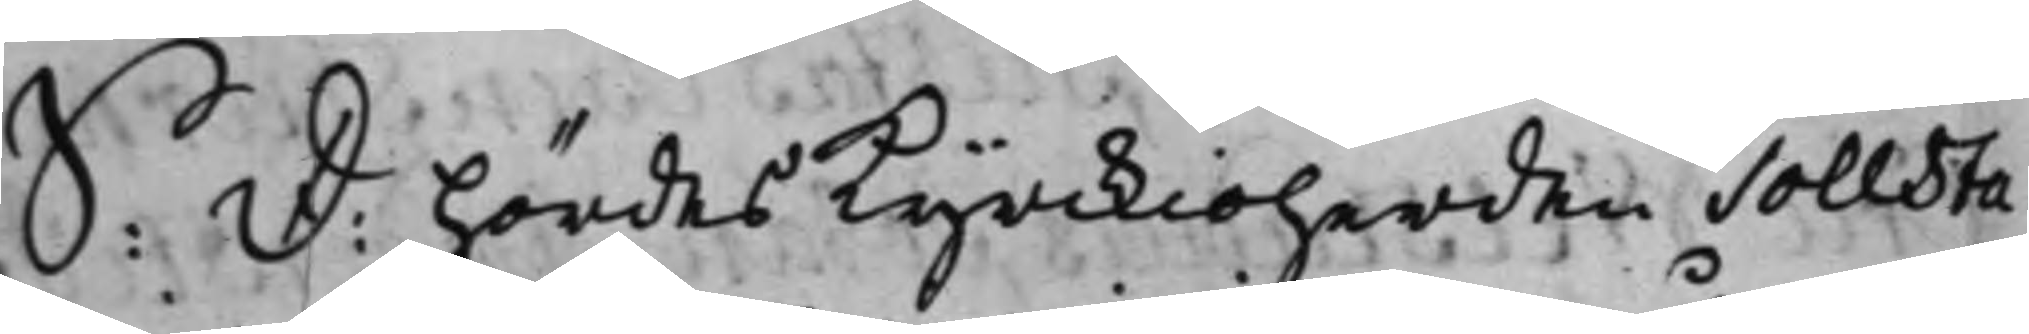S: D: hördes Kyrckioherden Tollsta¬
